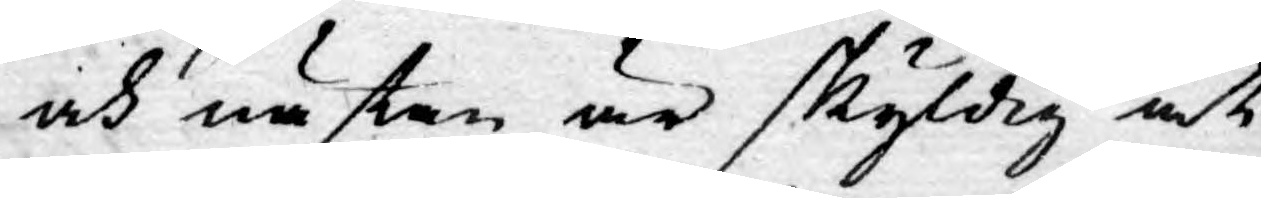och nästan är skyldig at
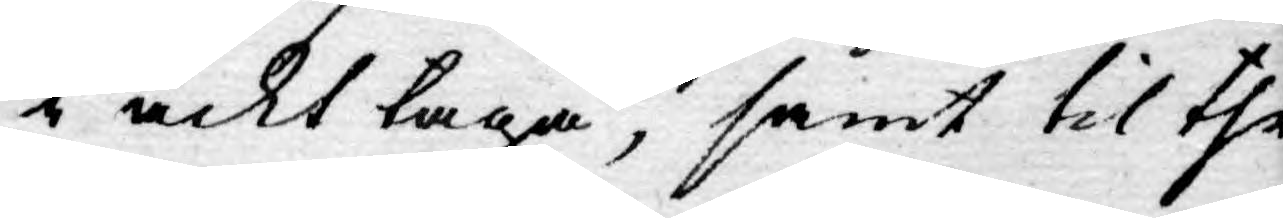i ackt taga, samt til the
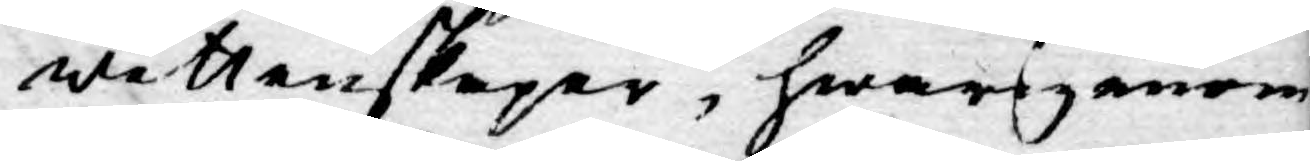wettenskaper, hwarginom
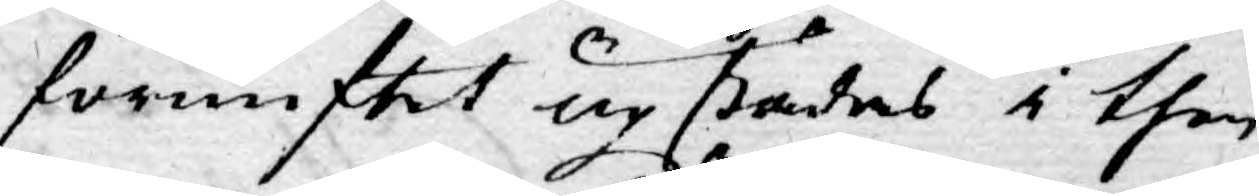förnuftet upstädes i then
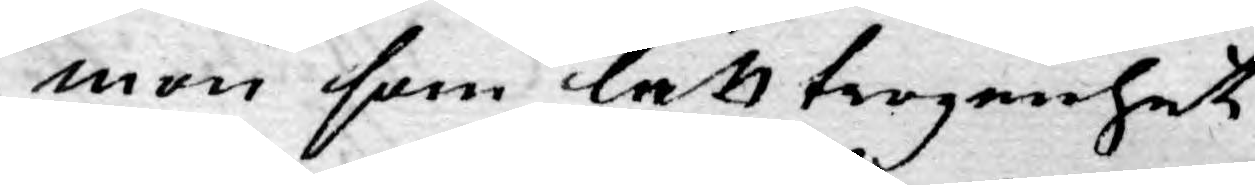mon som lätt trogenhet
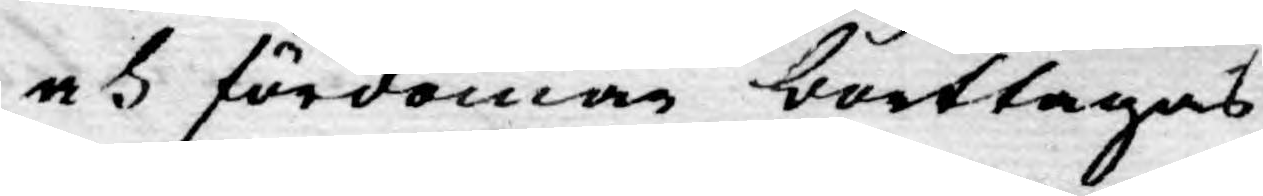och fördomar borttagas,
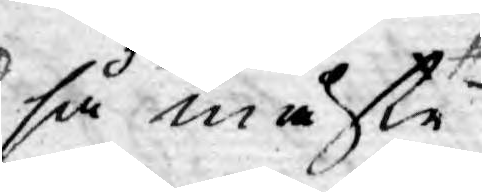så måste
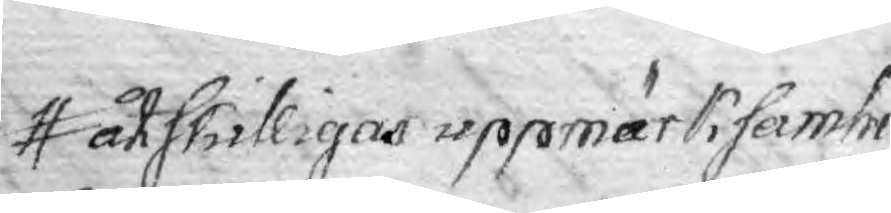åtskilligas uppmärksamhet
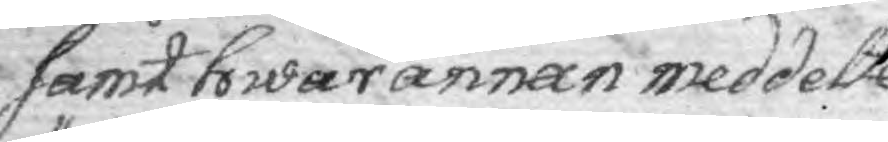samt hwarannan meddelte
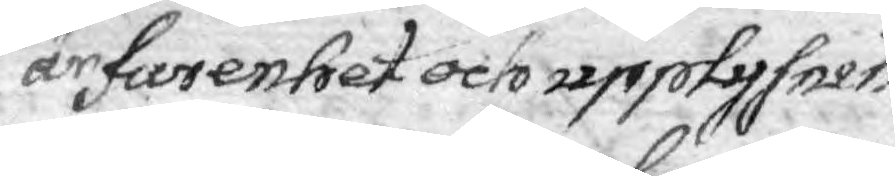ärfarenhet och upplysnin¬
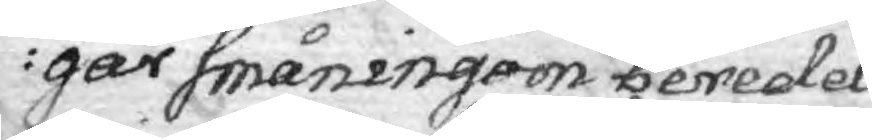gar småningom bereda
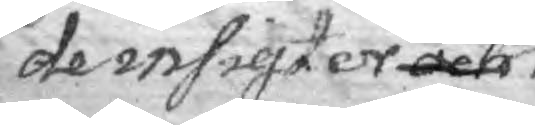de insigter och
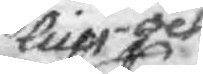lius och
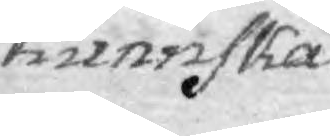kunnska¬
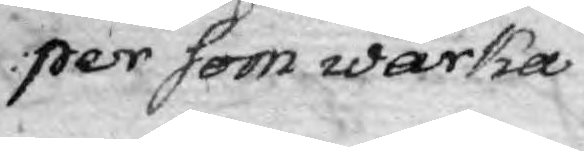per som wärka
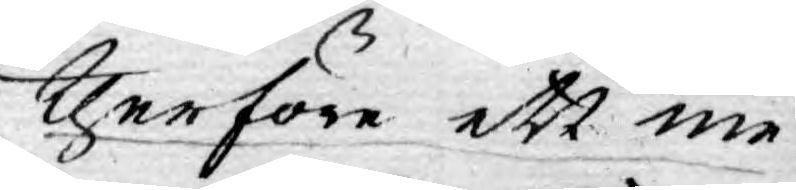therföre ett me¬
